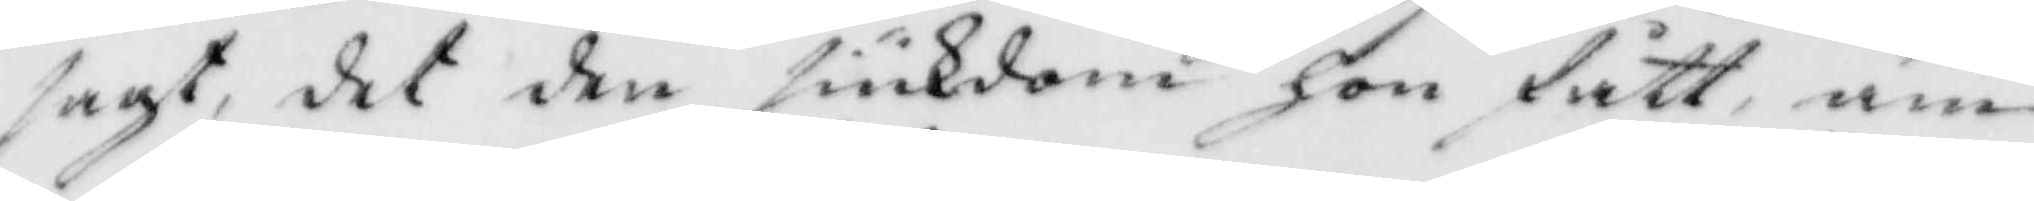sagt, det den siukdom hon fått, äm¬
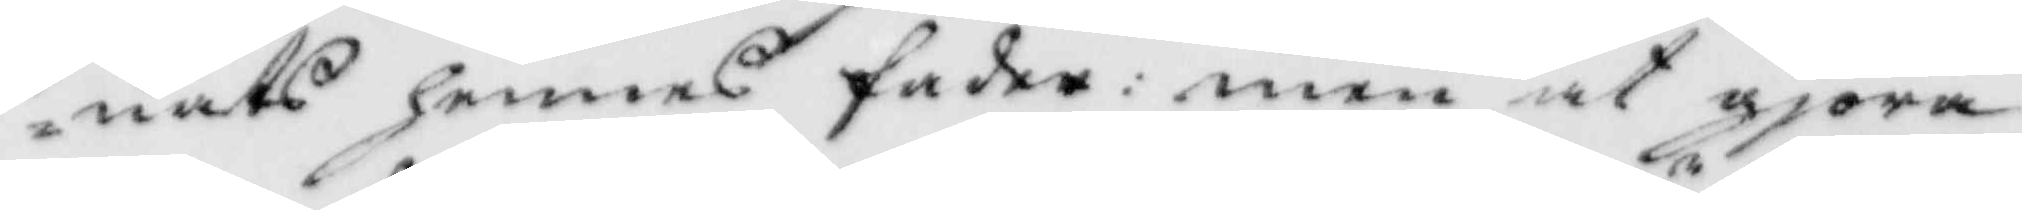nats hennes fader: men at gjöra
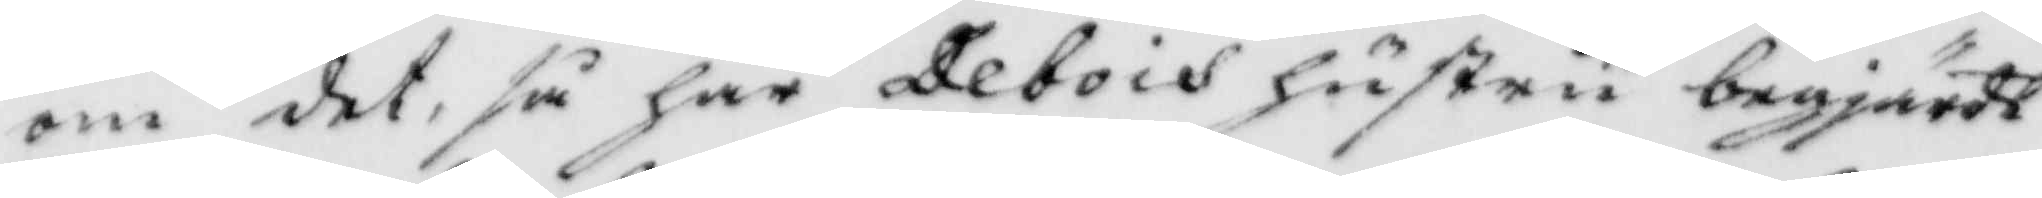om det, så har Debois hustru begjärdt
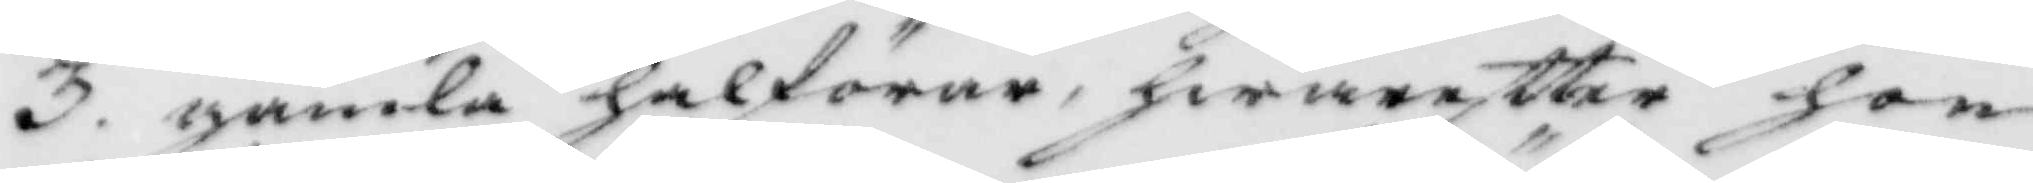3. gamla halförar, hwareftter hon
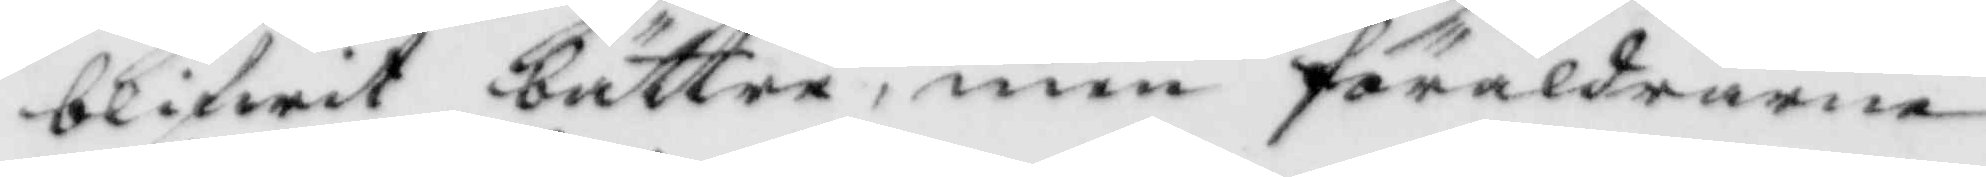blifwit bättre, men föräldrarne
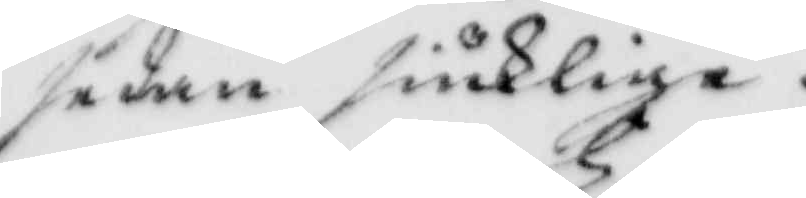sedan siuklige.
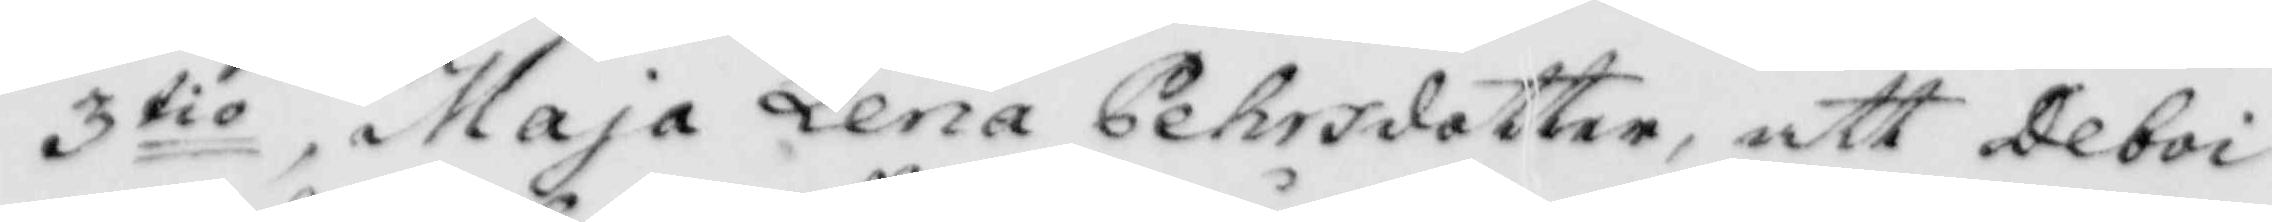3tio, Maja Lena Pehrsdotter, att Deboi
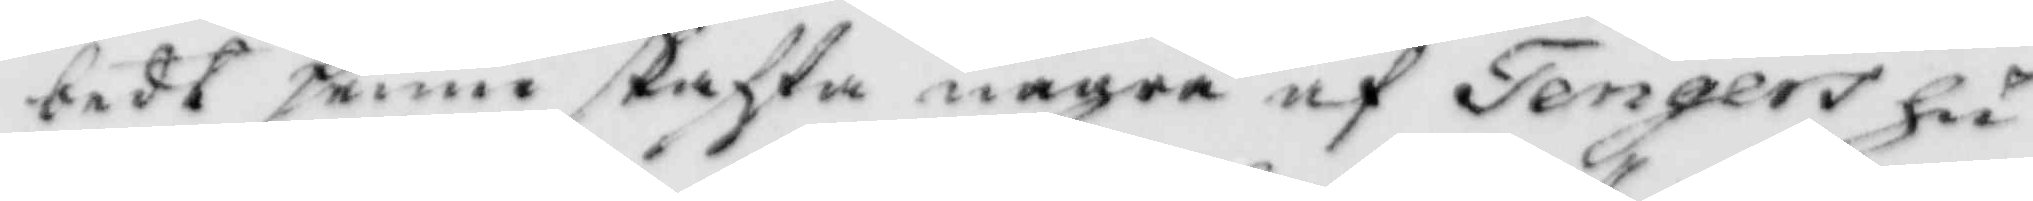bedt henne skaffa några af Tengers hu¬
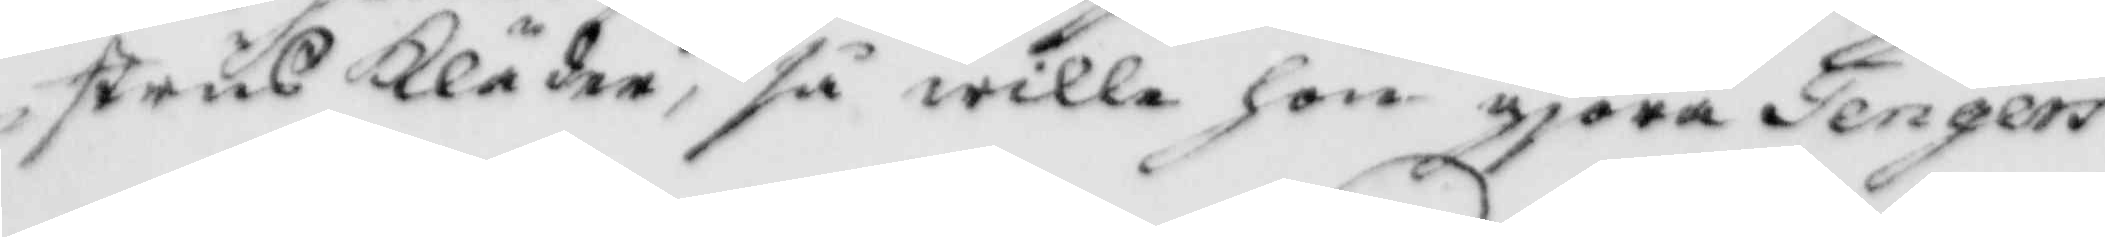strus Kläder, så wille hon gjöra Tengers
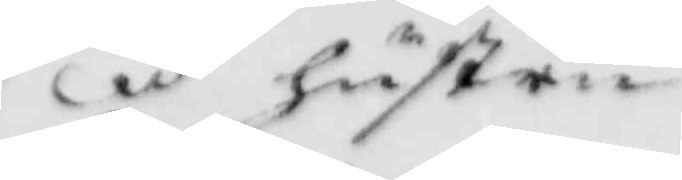hustru
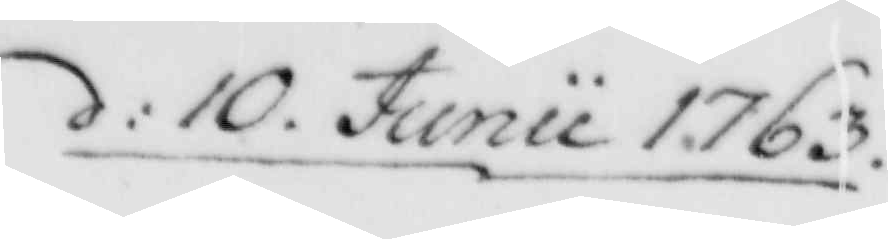d: 10. Junii 1763.
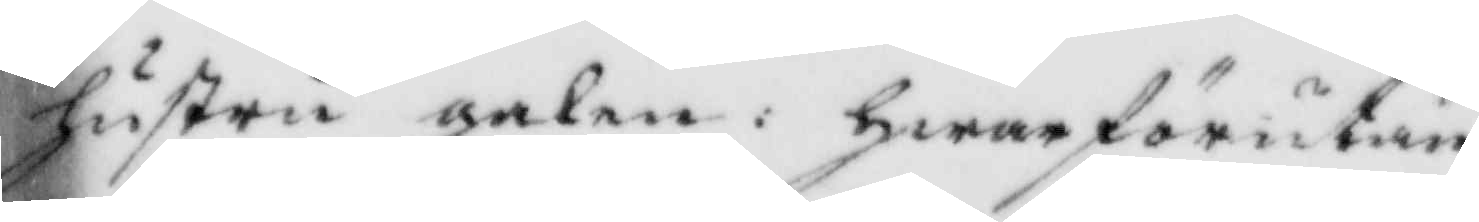hustru galen: hwarföre utan
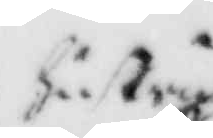hustru 
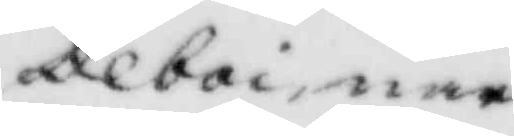Deboi nar¬
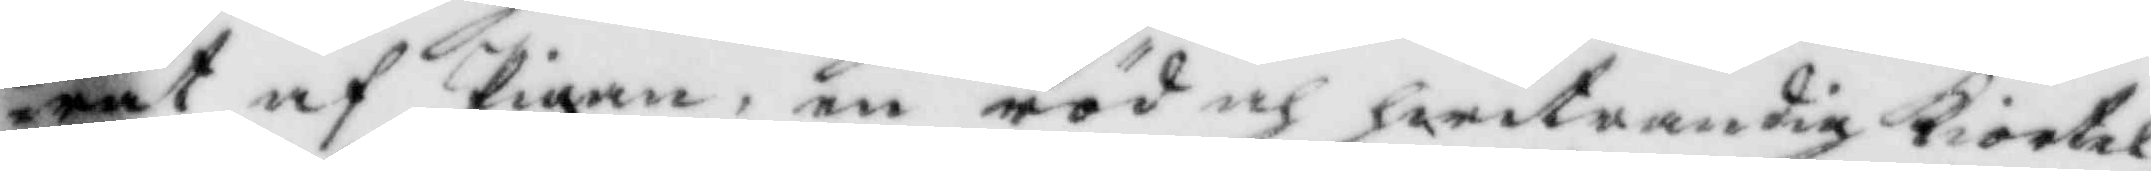rat af Pigan, en röd och hwitrandig Kiortel,
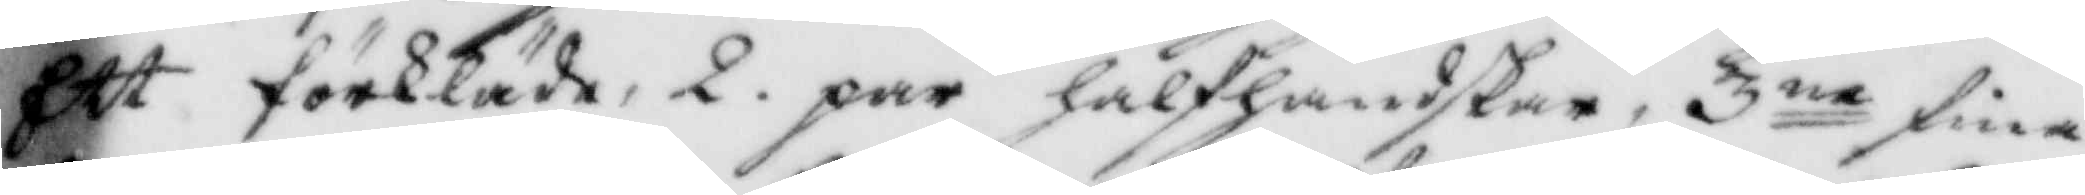Ett förkläde, 2. par halfhandskar, 3ne fina
